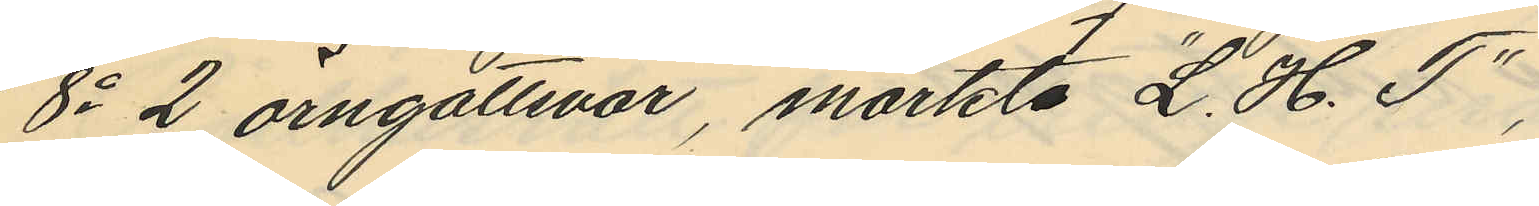8o 2 örngottsvar, märkta "L. H. T",
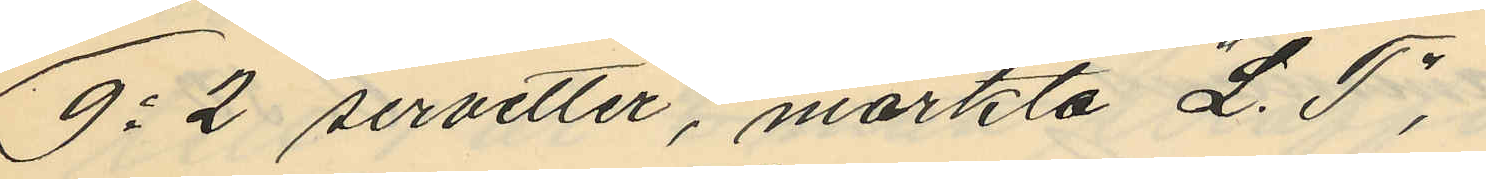9o 2 servetter, märkta "L. T",
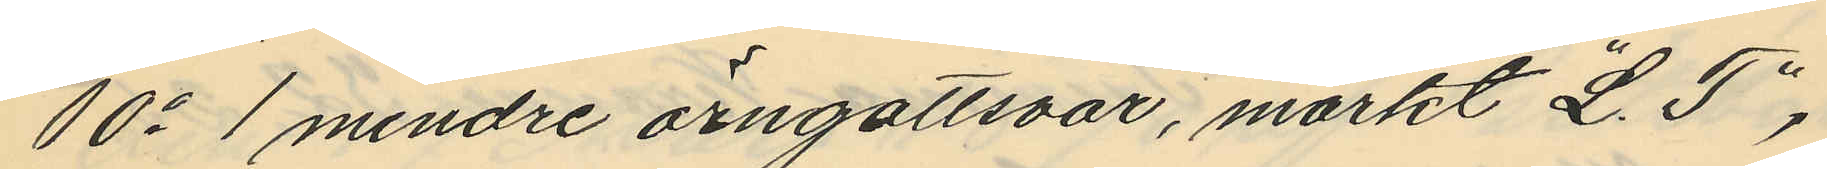10o 1 mindre örngottsvar, märkt "L. T",
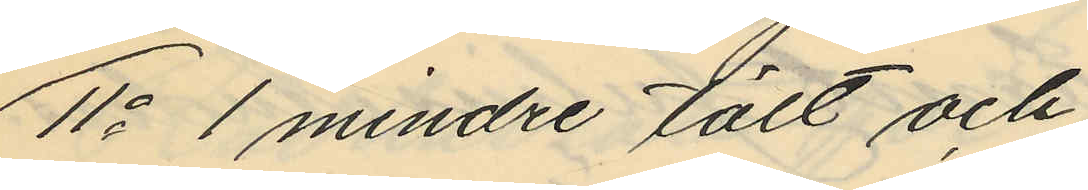11o 1 mindre tält och
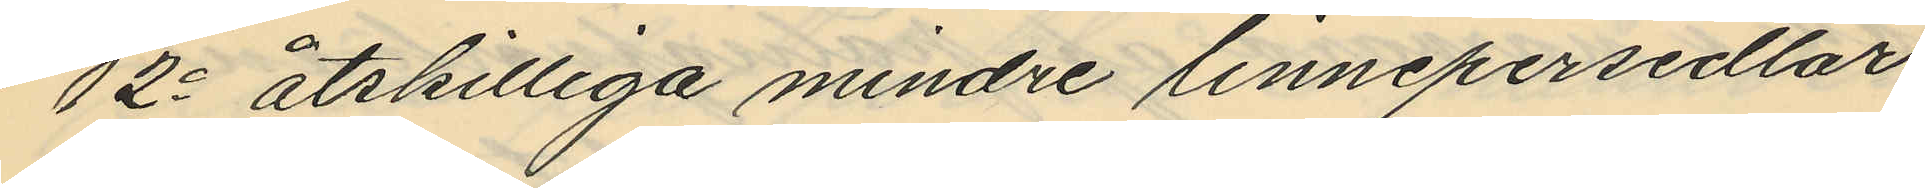12o åtskilliga mindre linnepersedlar
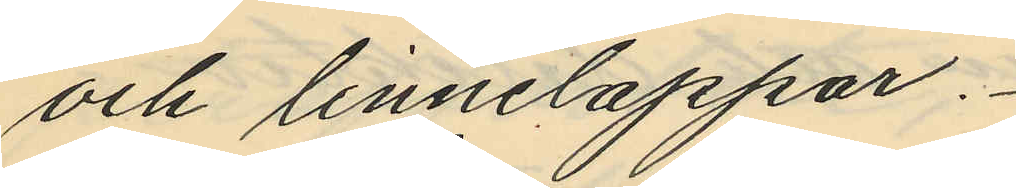och linnelappar.
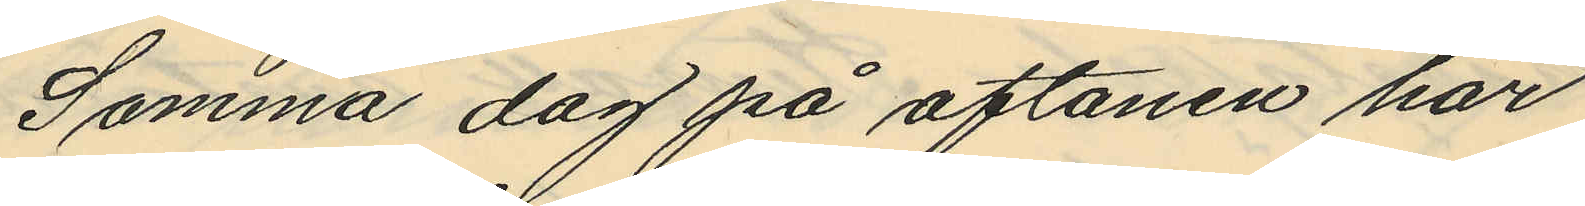Samma dag på aftonen har
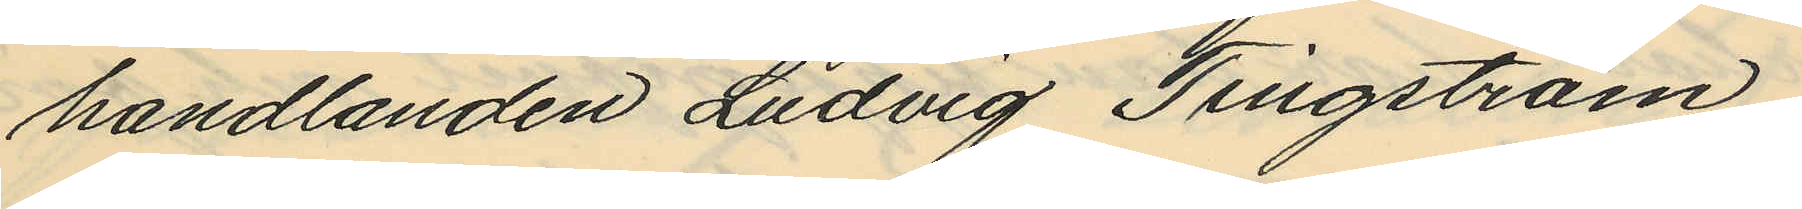handlanden Ludvig Tingström,
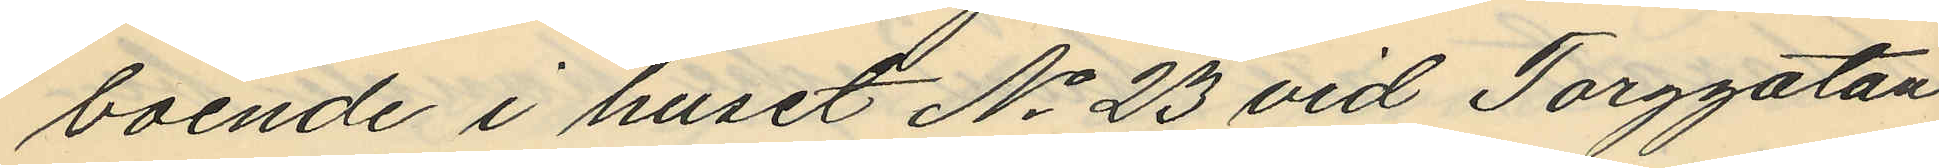boende i huset No 23 vid Torggatan
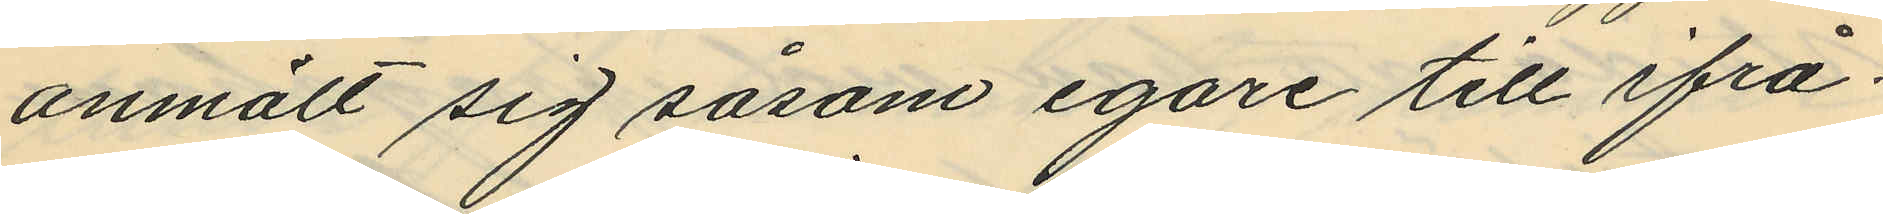anmält sig såsom egare till ifrå¬
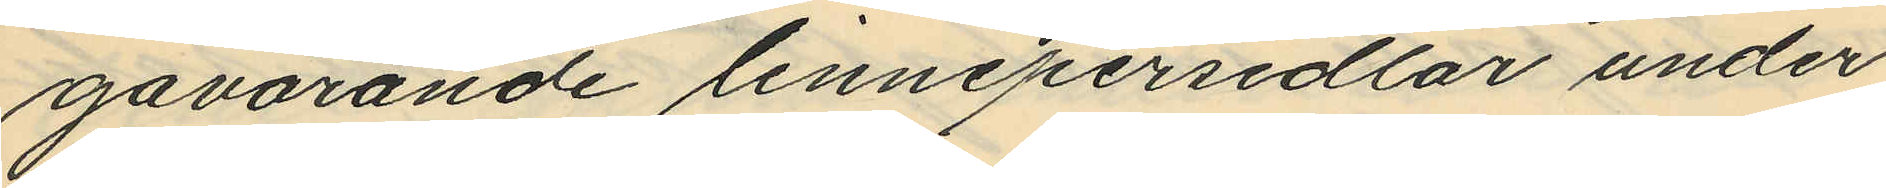gavarande linnepersedlar under
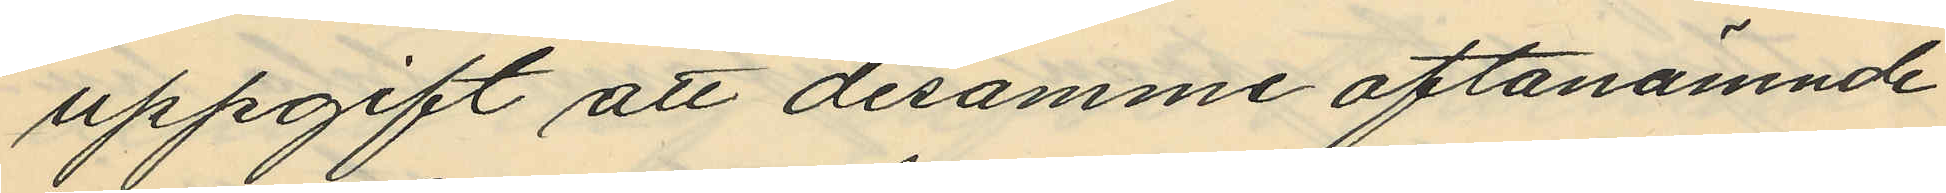uppgift att desamme oftanämnde
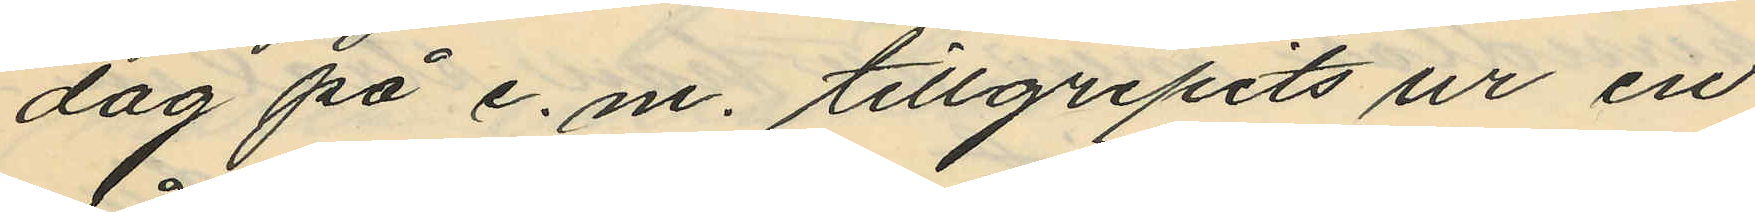dag på e. m. tillgripits ur en
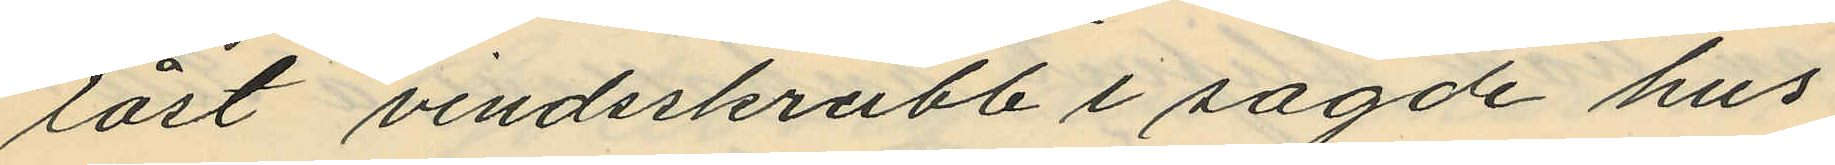låst vindsskrubb i sagde hus
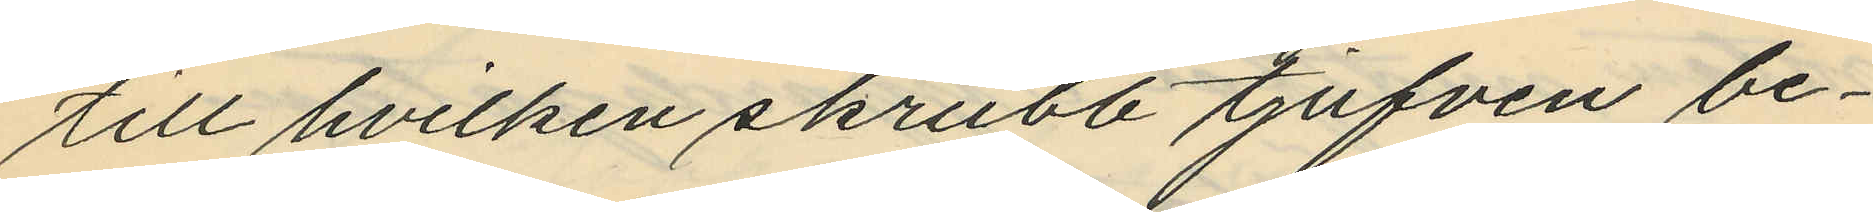till hvilken skrubb tjufven be¬
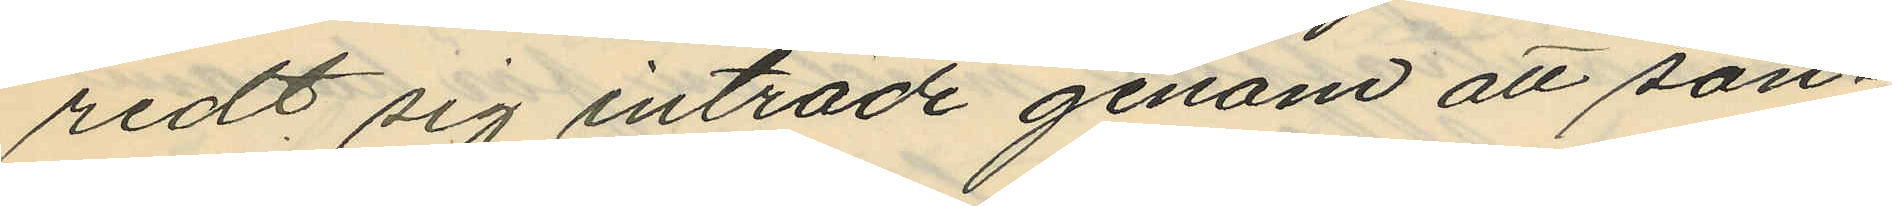redt sig inträde genom att sön¬
